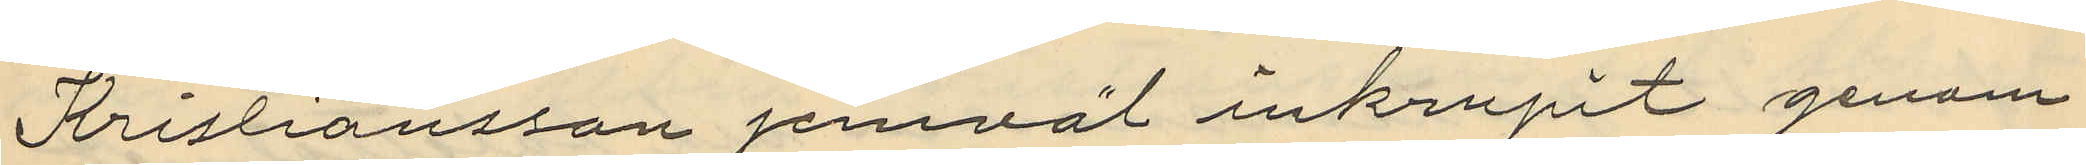Kristiansson jemväl inkrupit genom
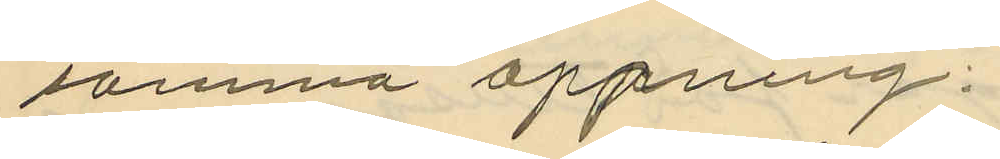samma öppning.
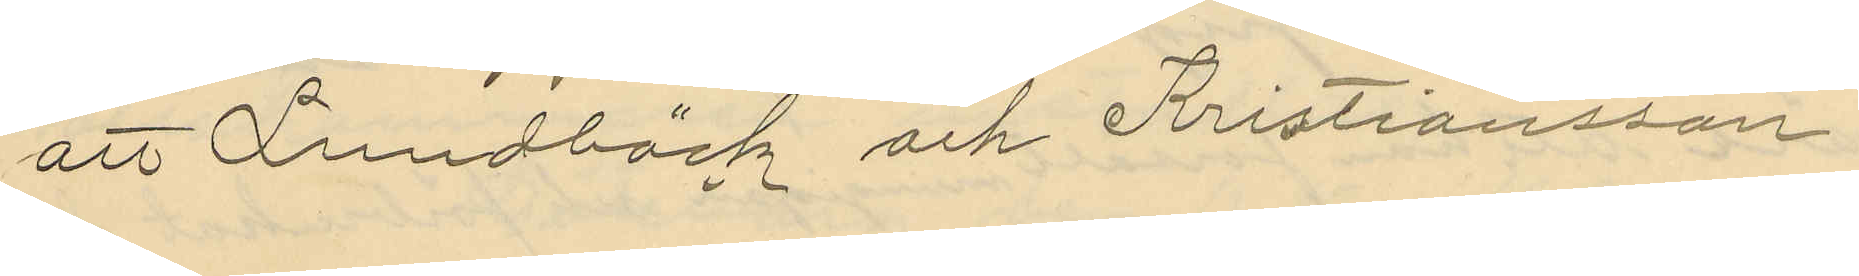att Lundbäck och Kristiansson
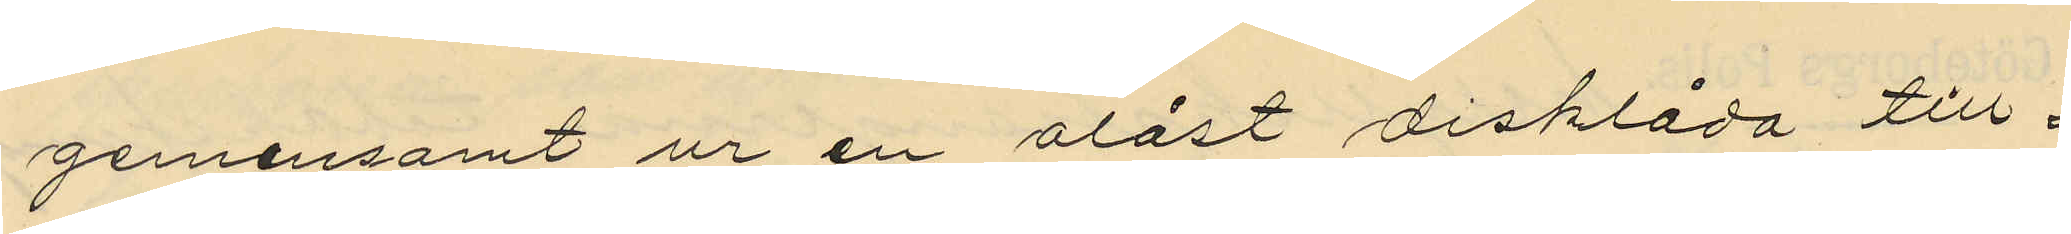gemensamt ur en olåst disklåda till¬
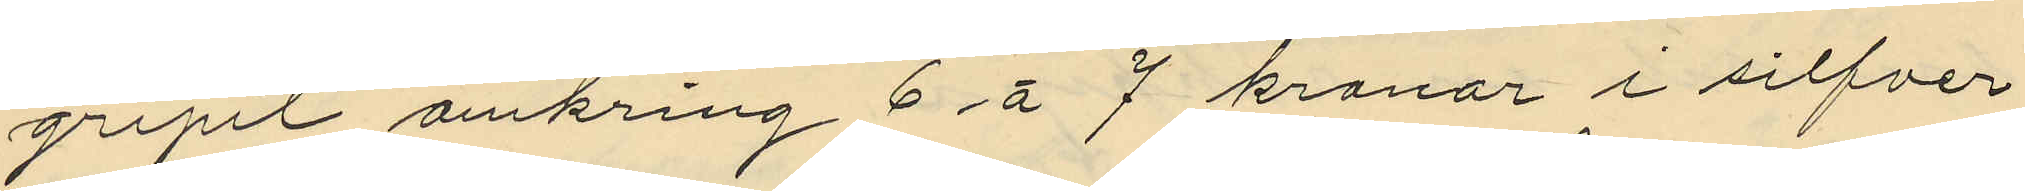gripit omkring 6 á 7 kronor i silfver
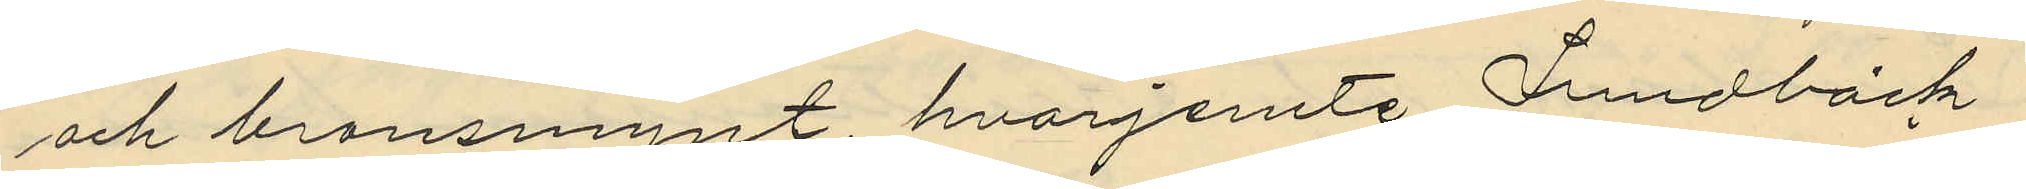och bronsmynt, hvarjemte Lundbäck
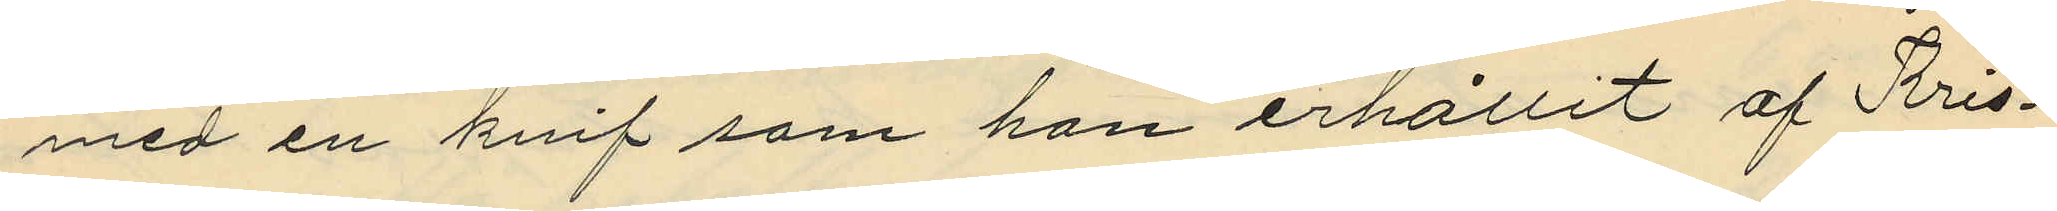med en knif som han erhållit af Kris¬
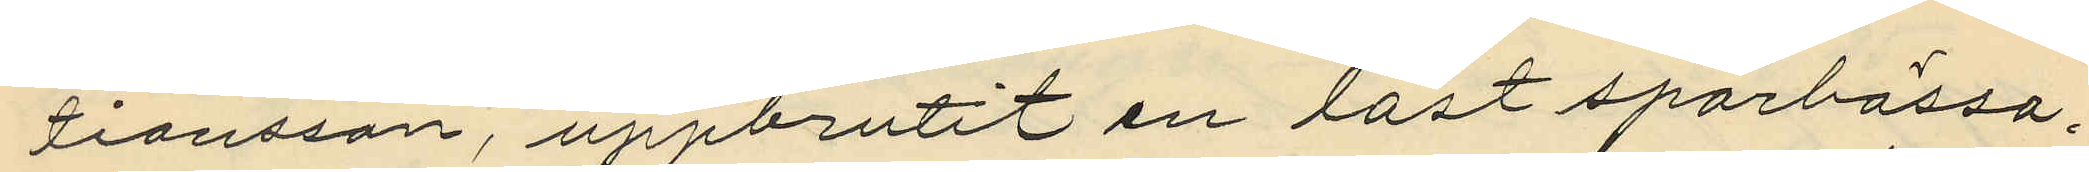tiansson, uppbrutit en låst sparbössa,
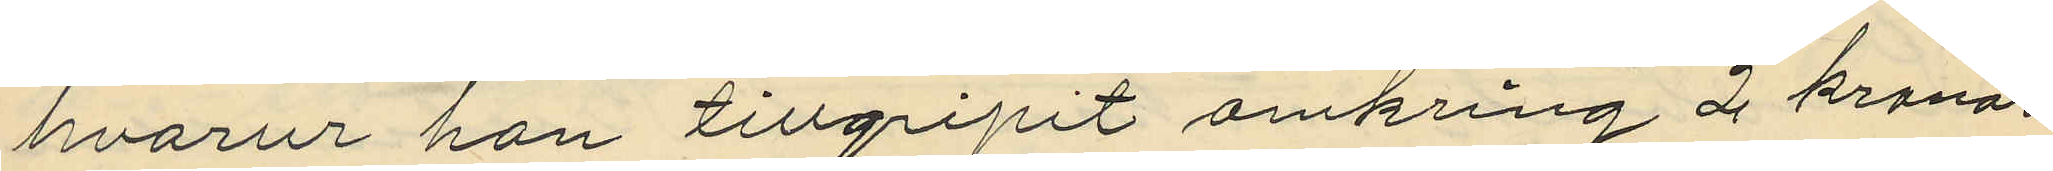hvarur han tillgripit omkring 2 kronor
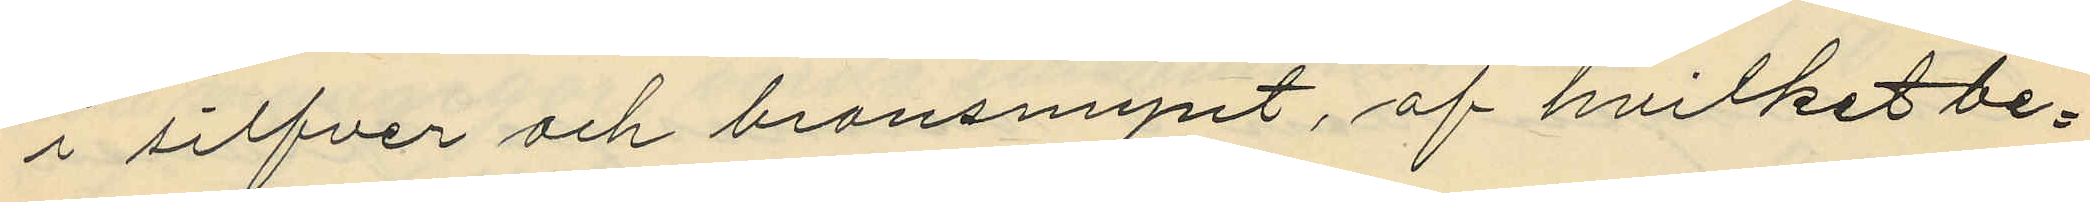i silfver och bronsmynt, af hvilket be¬
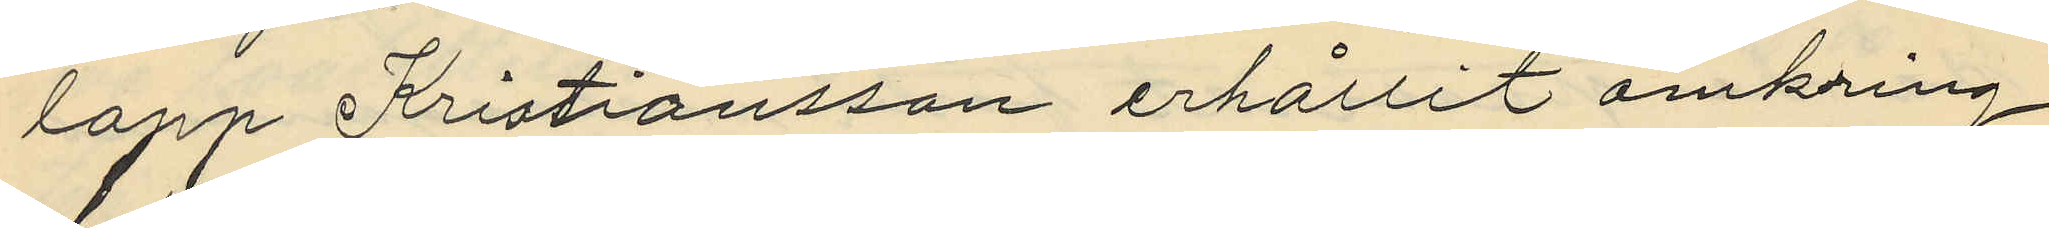lopp Kristiansson erhållit omkring
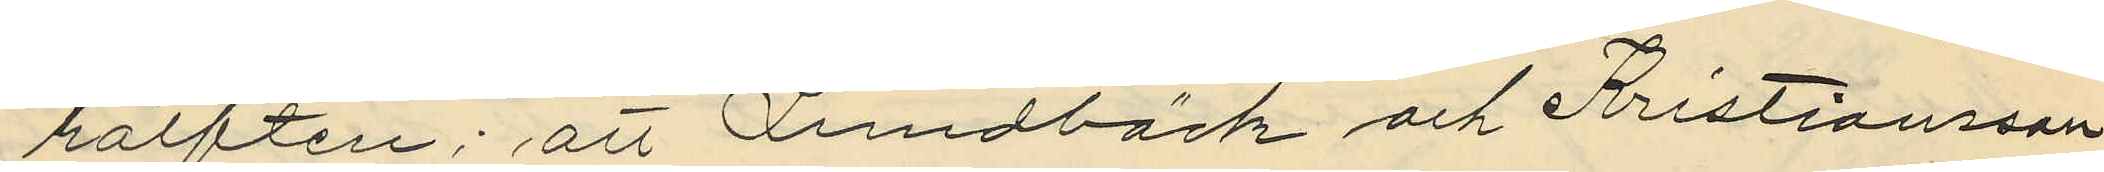hälften; att Lundbäck och Kristiansson
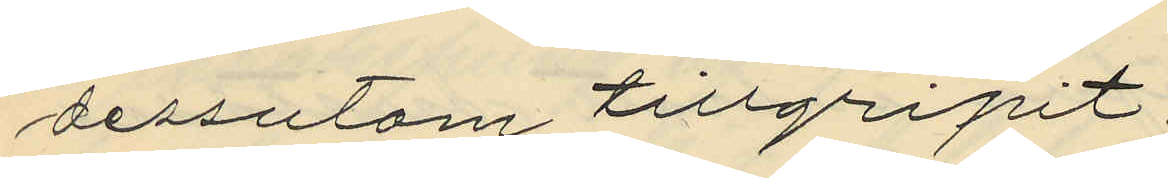dessutom tillgripit:
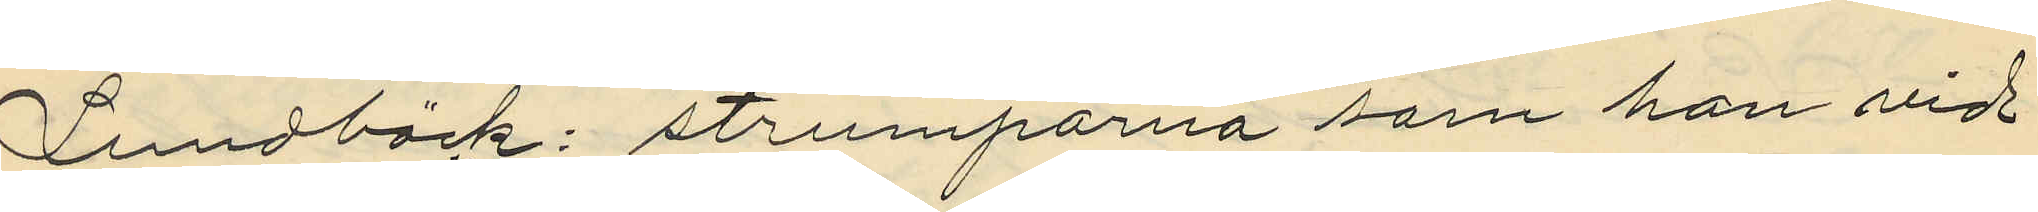Lundbäck: strumporna som han vid
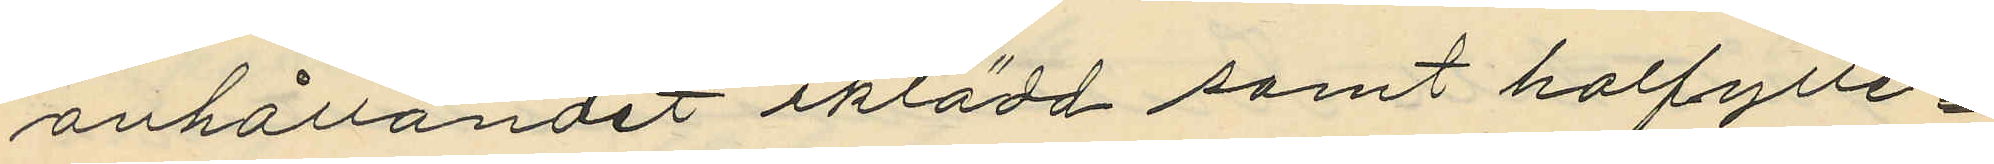anhållandet iklädd samt halfylle¬
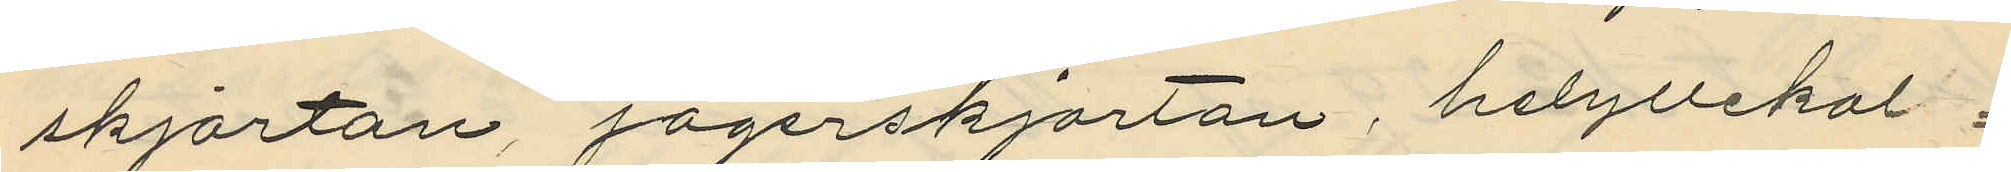skjortan, jägerskjortan, helyllekal¬
